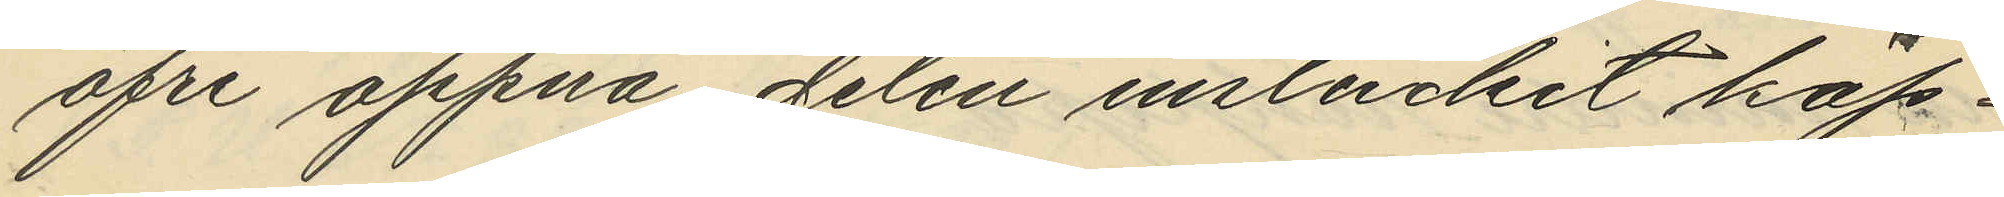öfre öppna delen instuckit käp¬
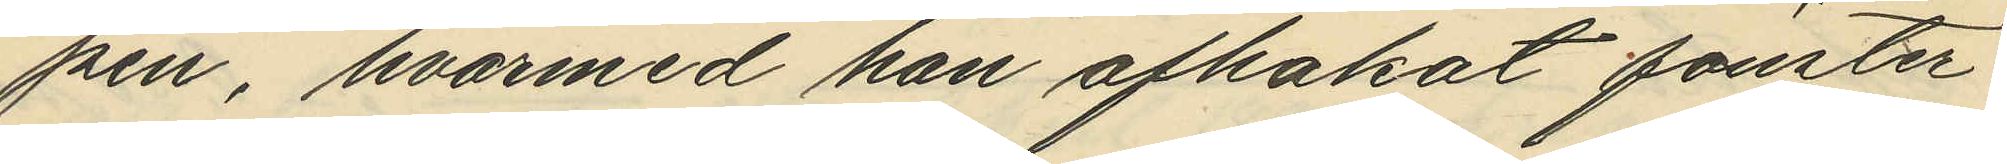pen, hvarmed han afhakat fönster¬
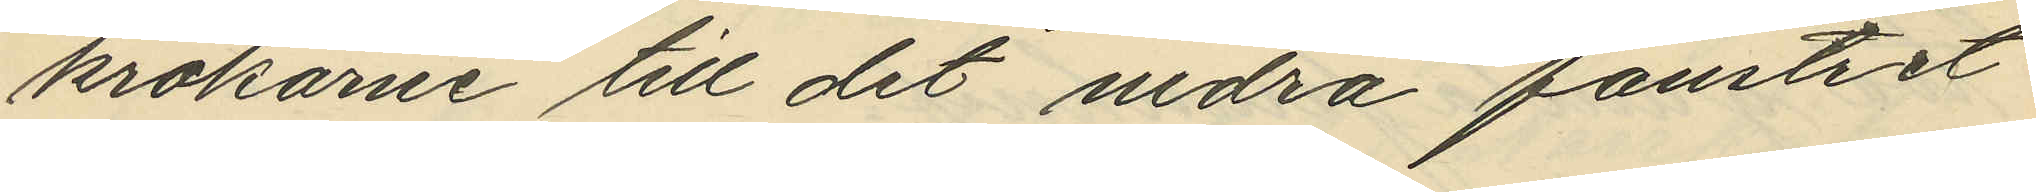krokarne till det nedra fönstret
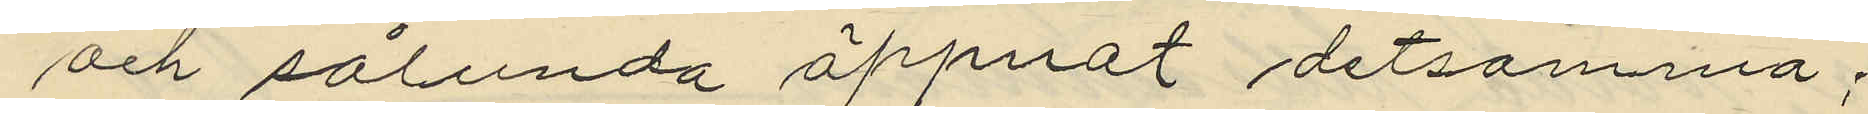och sålunda öppnat detsamma;
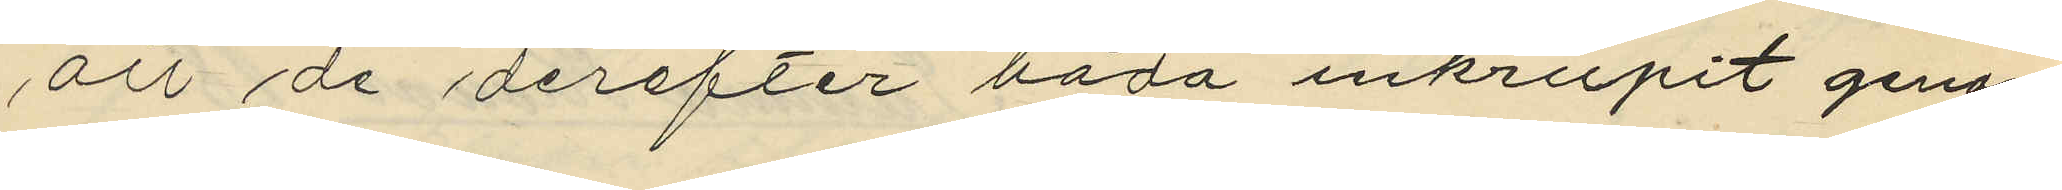att de derefter båda inkrupit genom
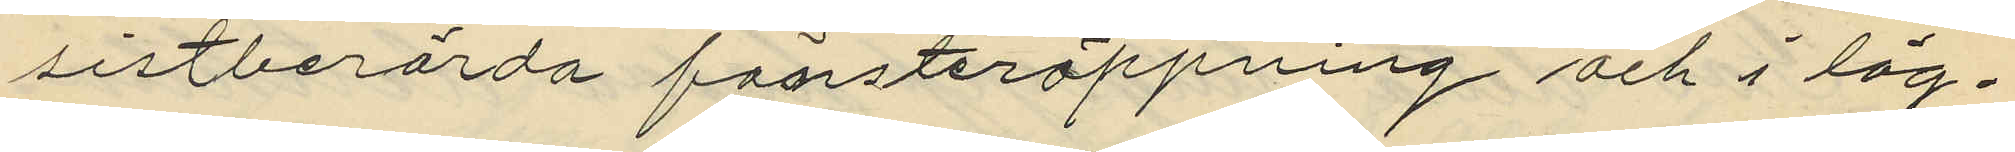sistberörda fönsteröppning och i läg¬
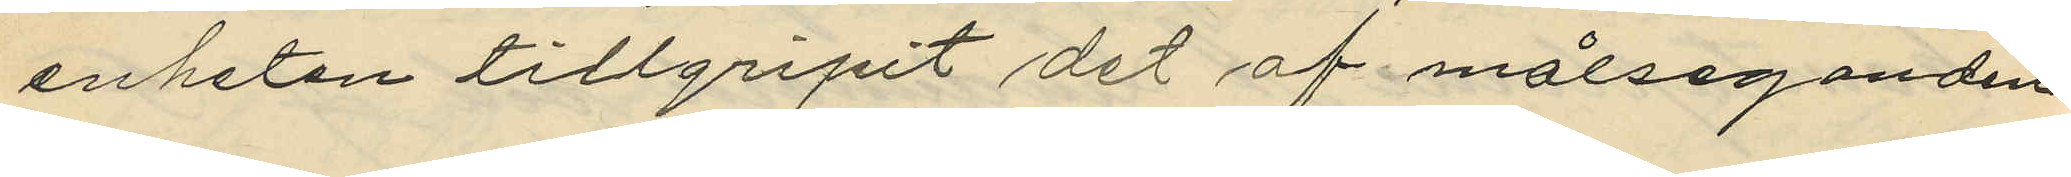enheten tillgripit det af målseganden
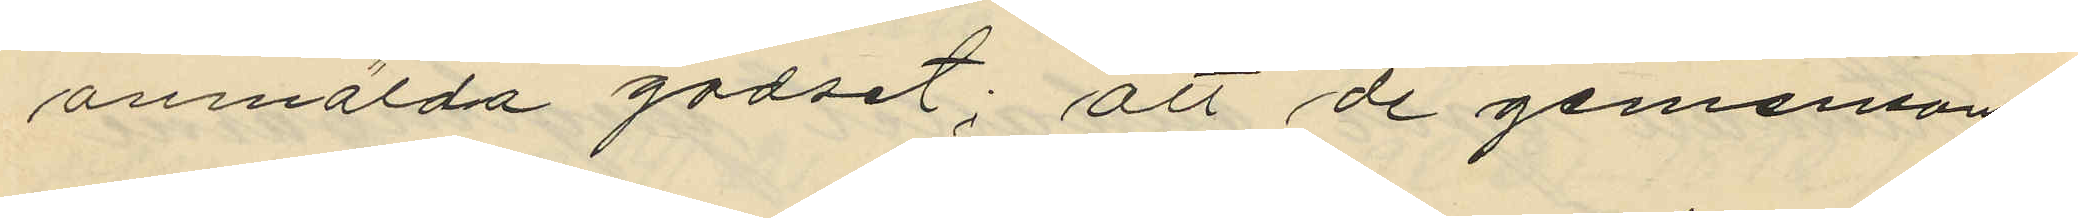anmälda godset; att de gemensamt
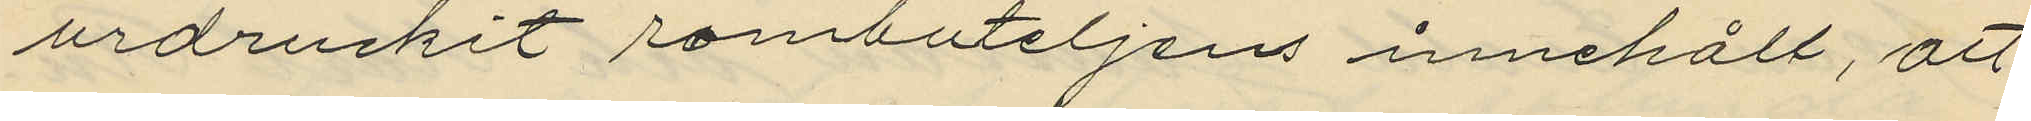urdruckit rombuteljens innehåll, att
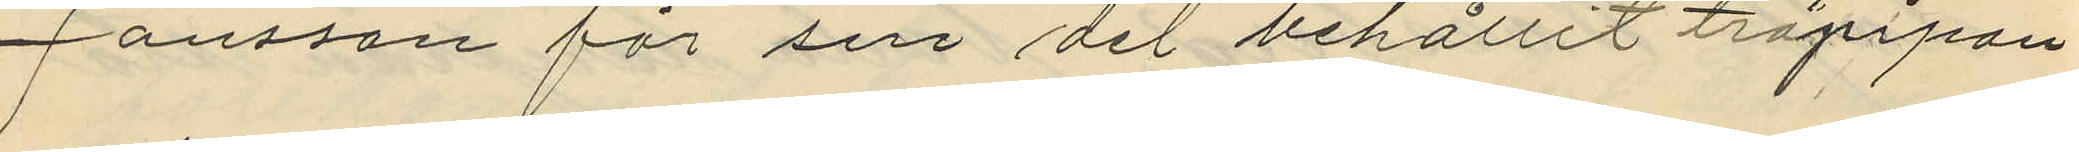Jönsson för sin del behållit träpipan
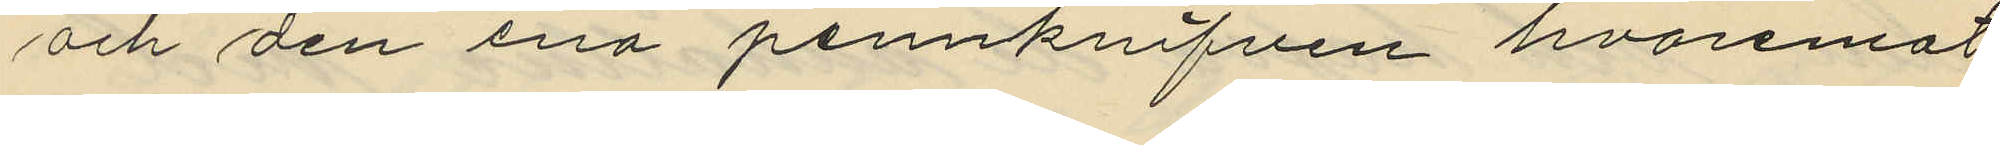och den ena pennknifven hvaremot
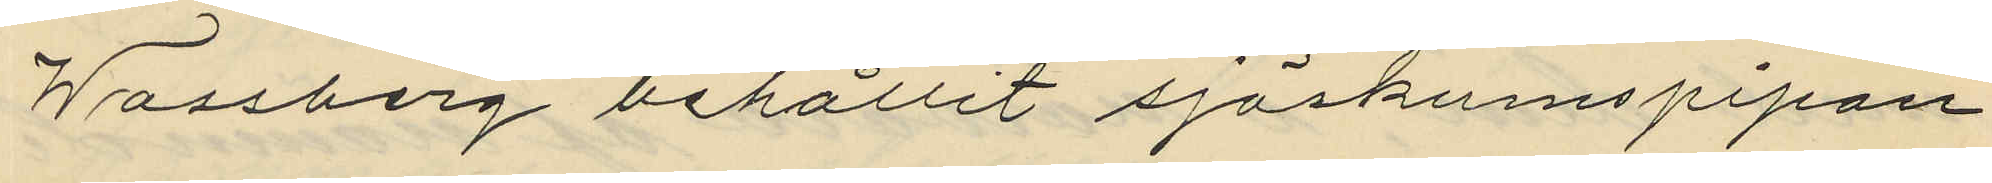Wassberg behållit sjöskumspipan
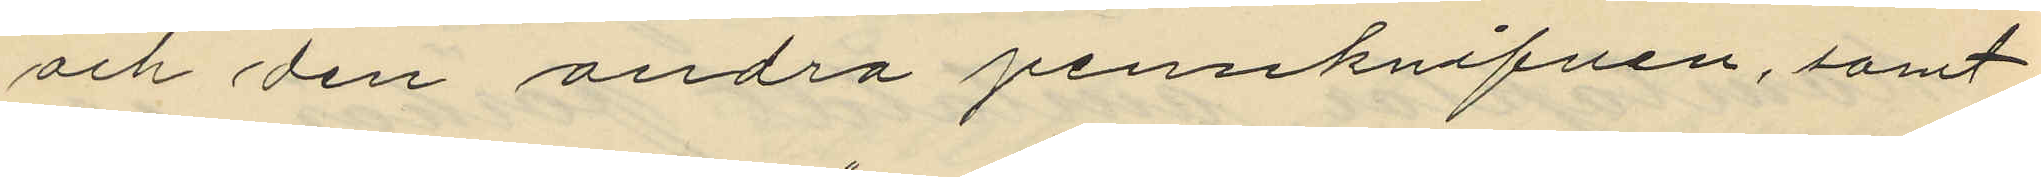och den andra pennknifven, samt
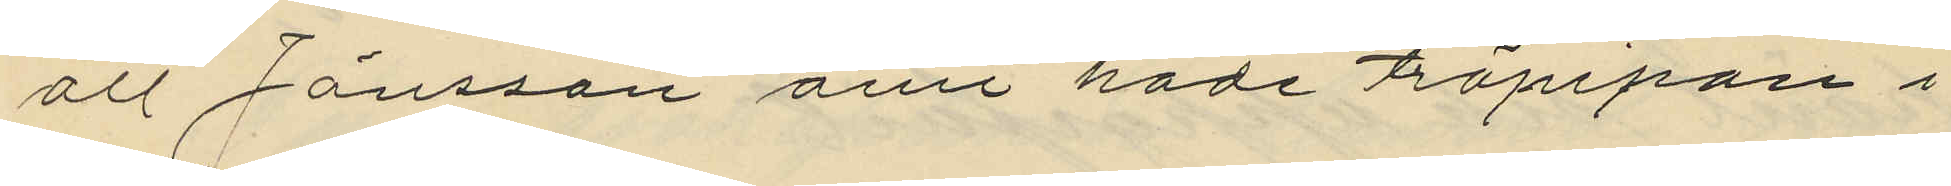att Jönsson ännu hade träpipan i
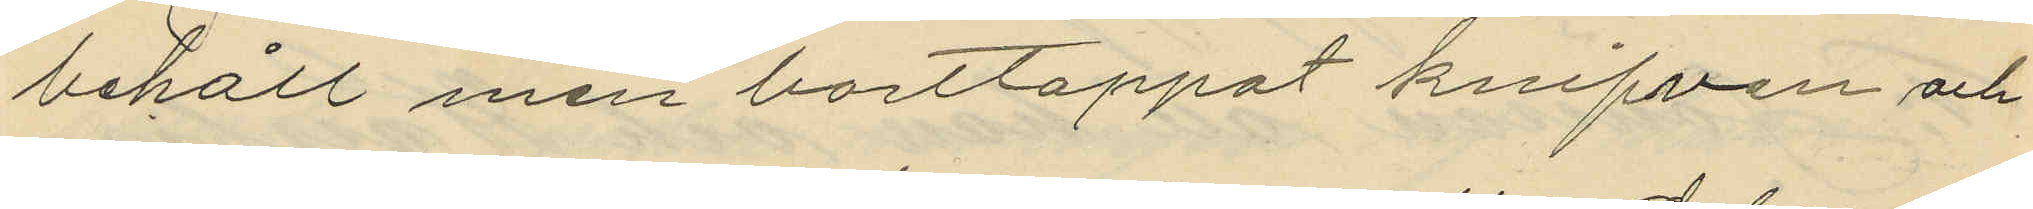behåll men borttappat knifven och
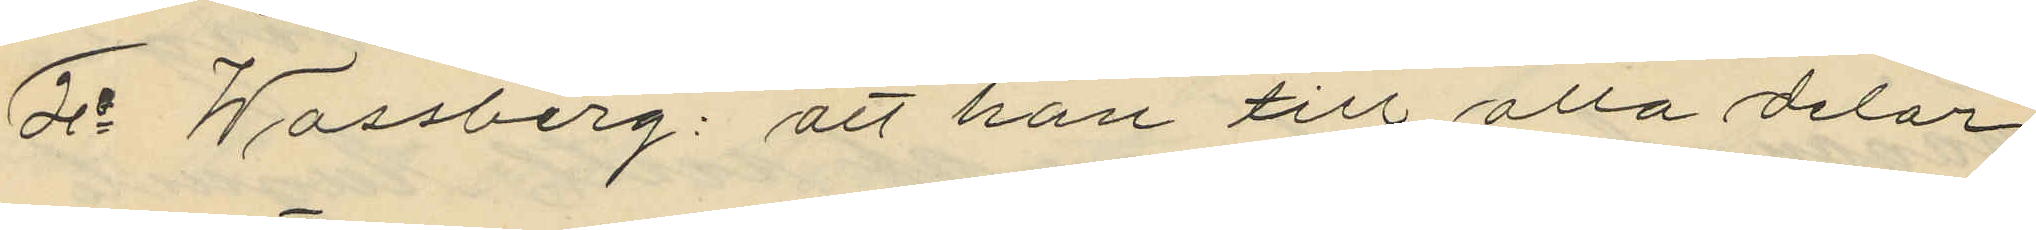5o Wassberg: att han till alla delar
